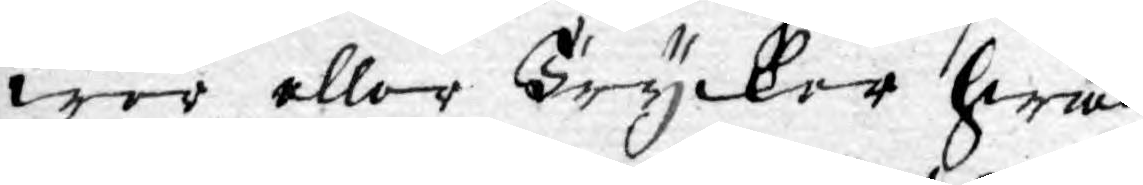wer eller Trycker hwad
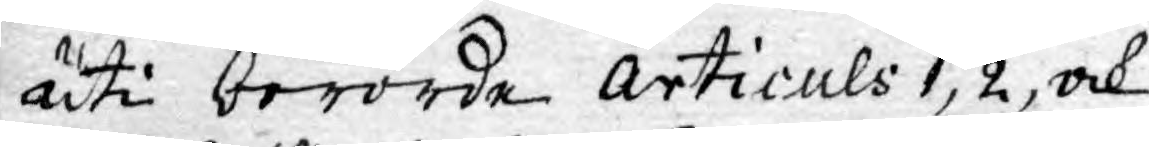uti berörde Articuls 1, 2, ock
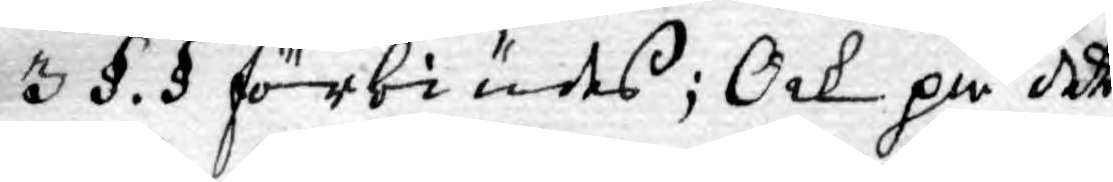3 §. § förbiudes; Ock på dett
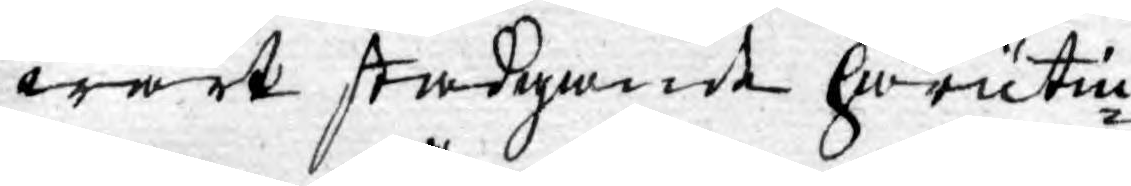wårt stadgande härutin¬
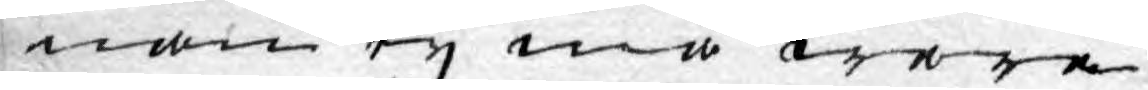nan ey må wara
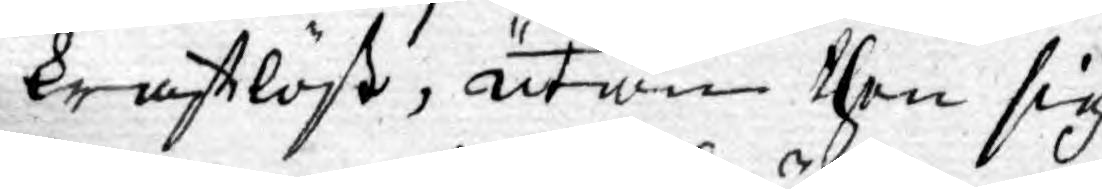kraftlöst, utan then sig
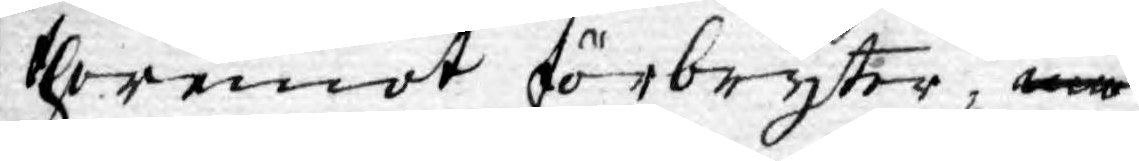theremot förbryter, må
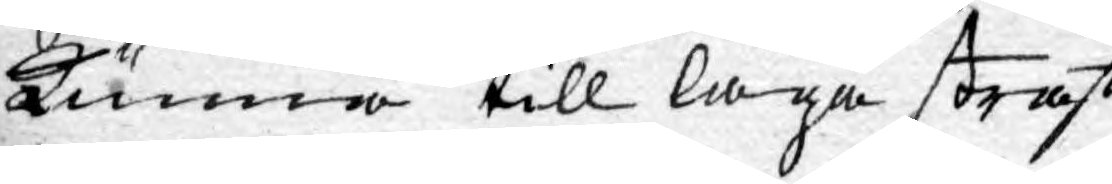kunna till laga straff
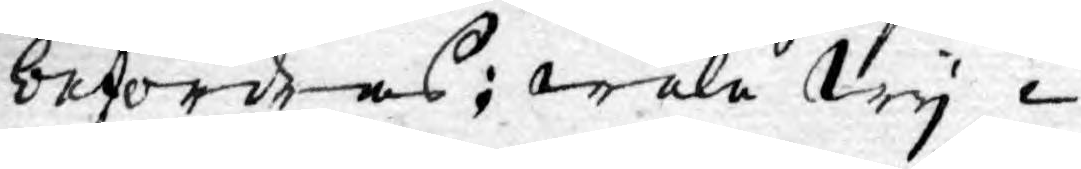befordras; wela Wy i
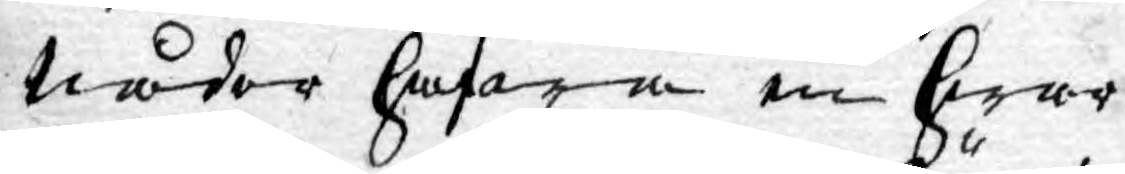Nåder hafwa en hwar
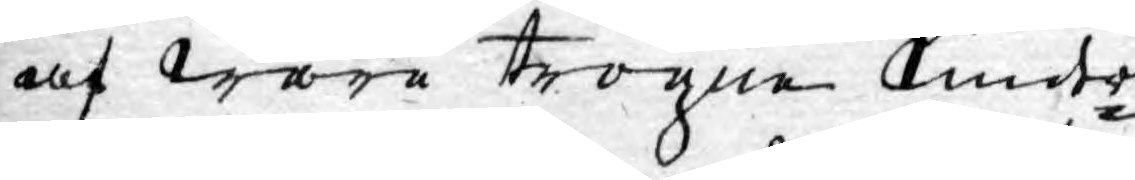af wåra trogne Under¬
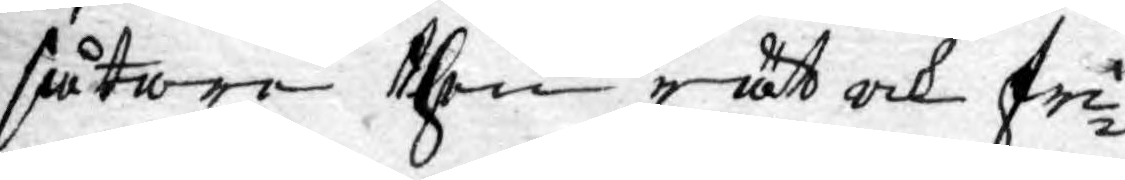såtare then rätt ock fri¬
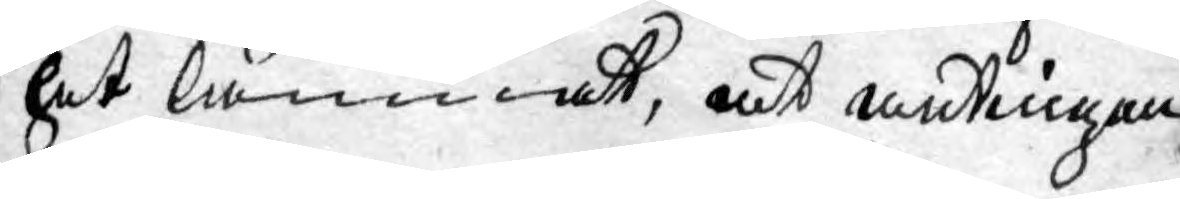het lämnat, at antingen
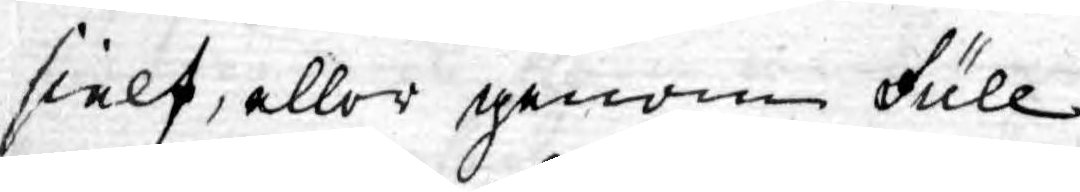sielf, eller genom Full¬
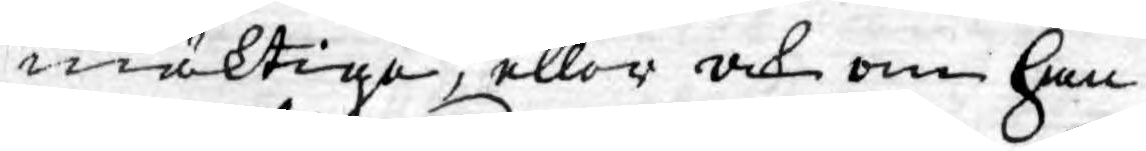mäktige, eller ock om han
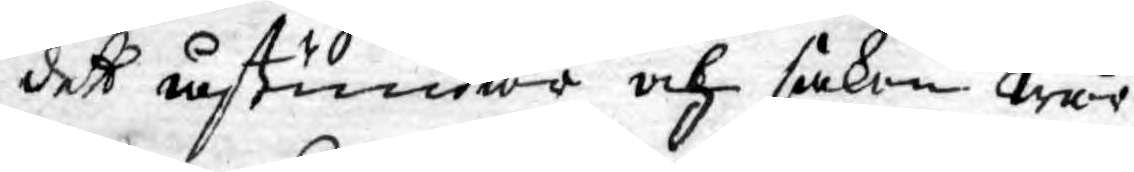dett åstundar och saken wår
